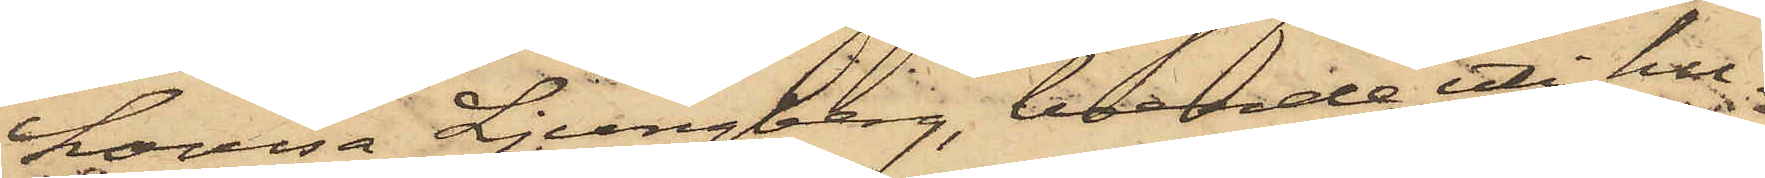Lovisa Ljungberg, boende i hu¬
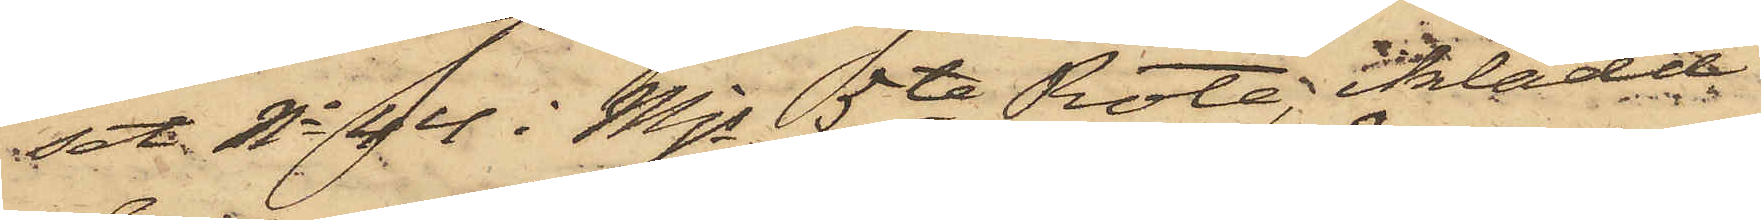set No 44 i Mjs 5te Rote, iklädd
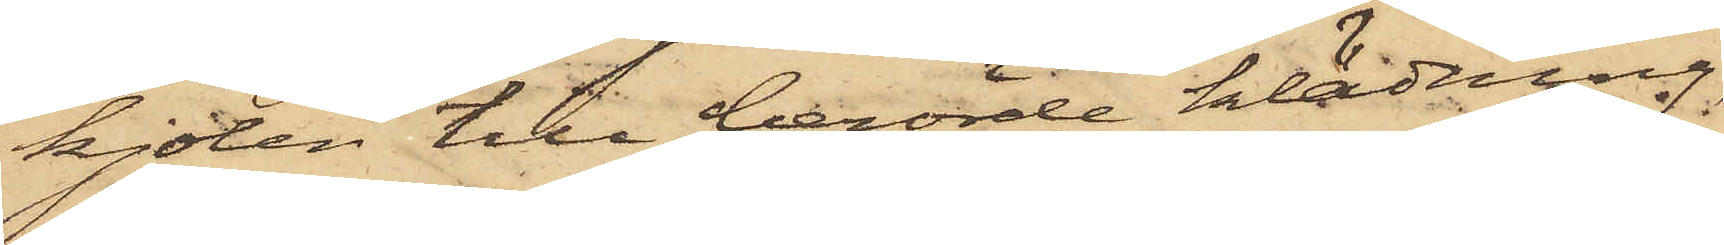kjolen till berörde klädning,
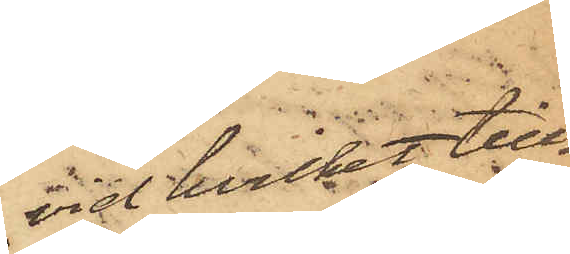vid hvilket till¬
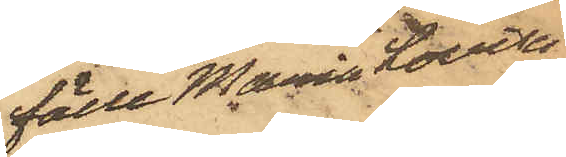fälle Maria Lovisa
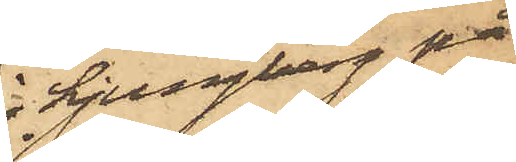Ljungberg på
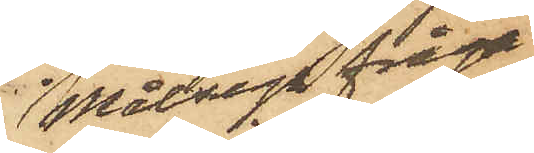Målsegs fråga
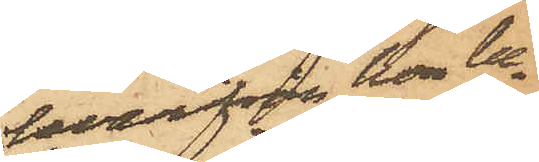hvarifrån hon be¬
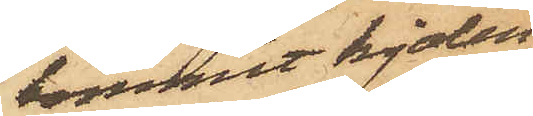kommit kjolen,
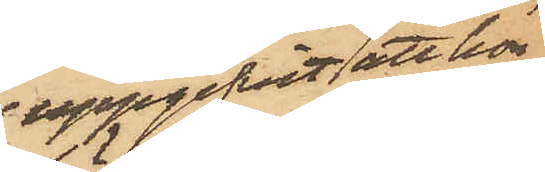uppgifvit att hon
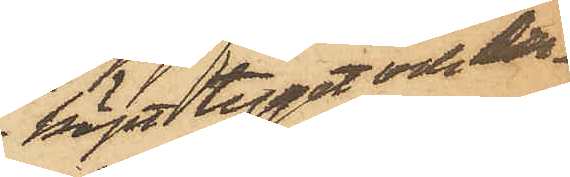köpt tyget och der¬
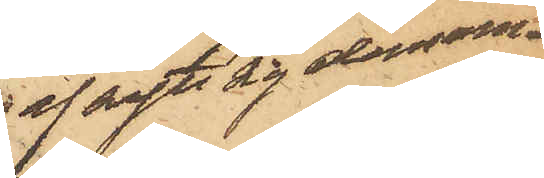af sytt sig densam¬
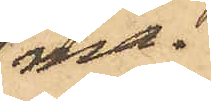ma.
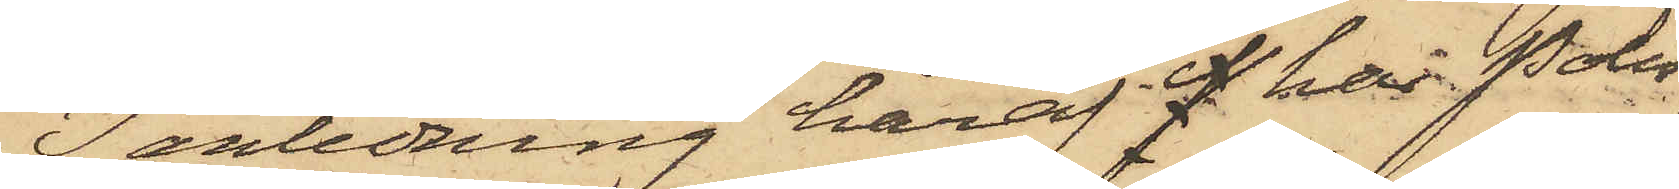I anledning häraf P har Polis¬
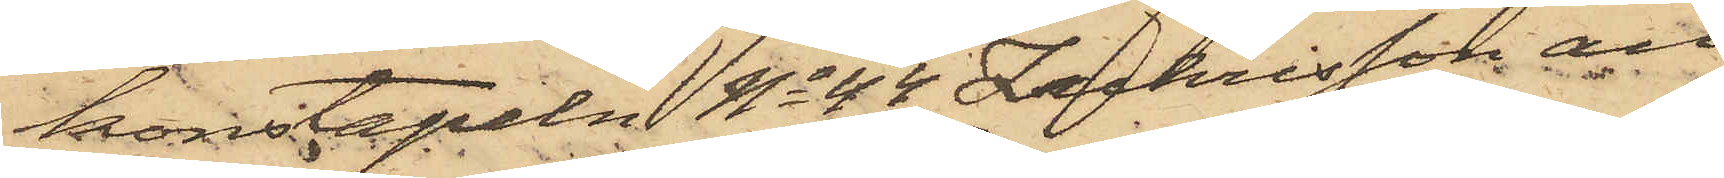konstapeln No 48 Zachrisson an¬
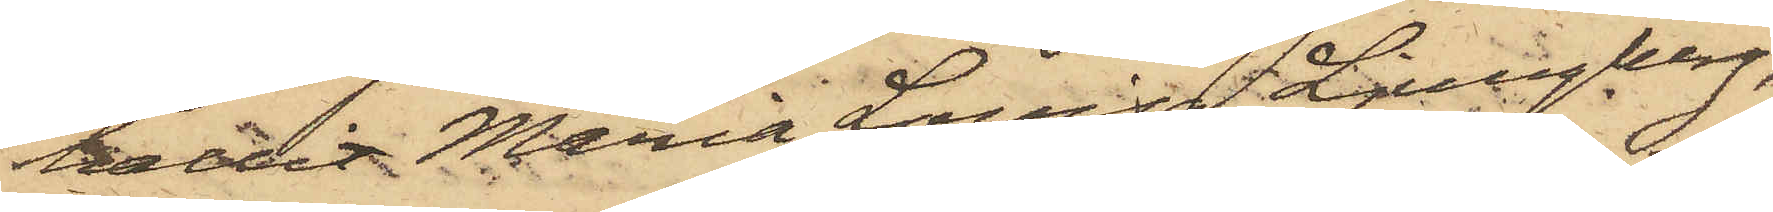hållit Maria Lovisa Ljungberg,
